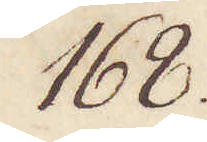168.
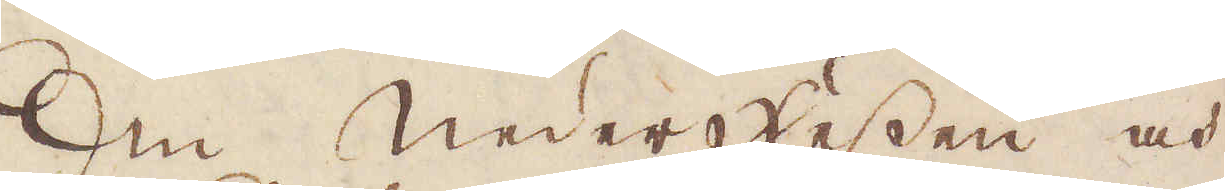Om Nederhessen och
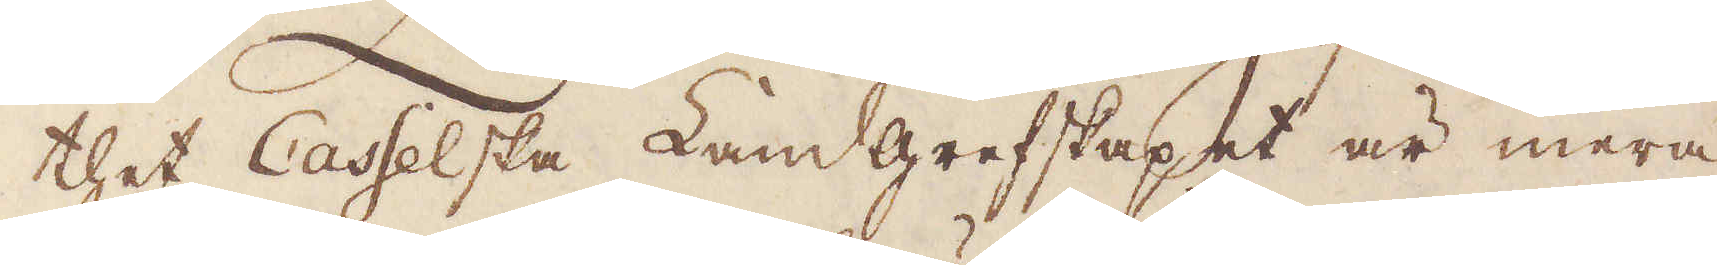thet Casselska Landgrefskapet är mera
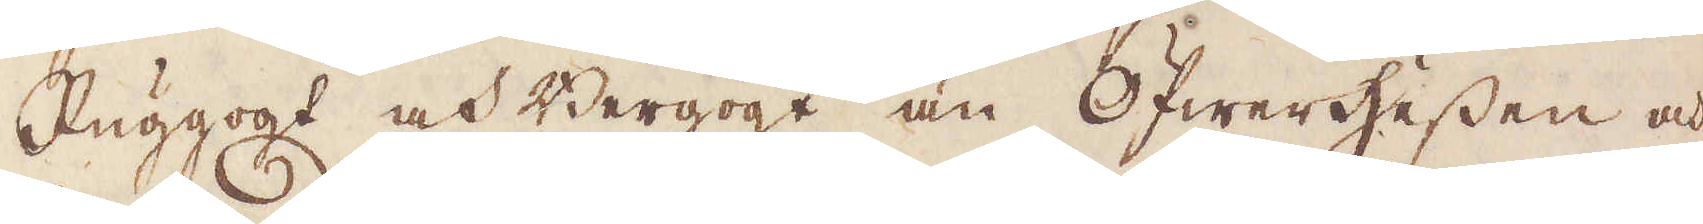Ruggogt och Bergogt än Öfwerhessen och
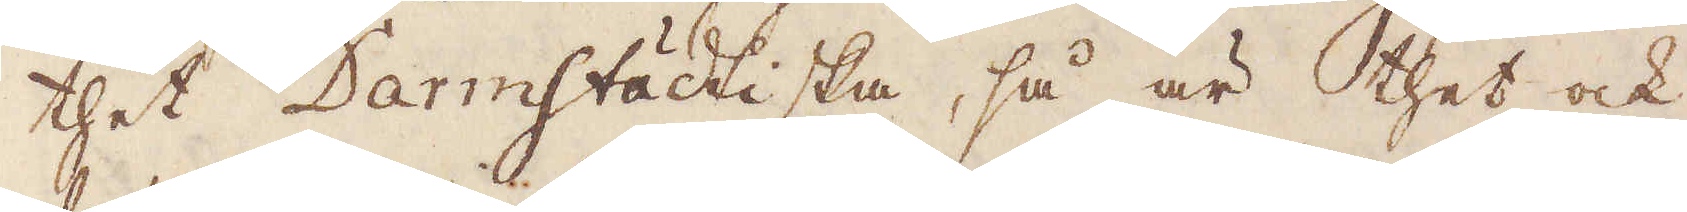thet Darmstädtiska, så är thet ock
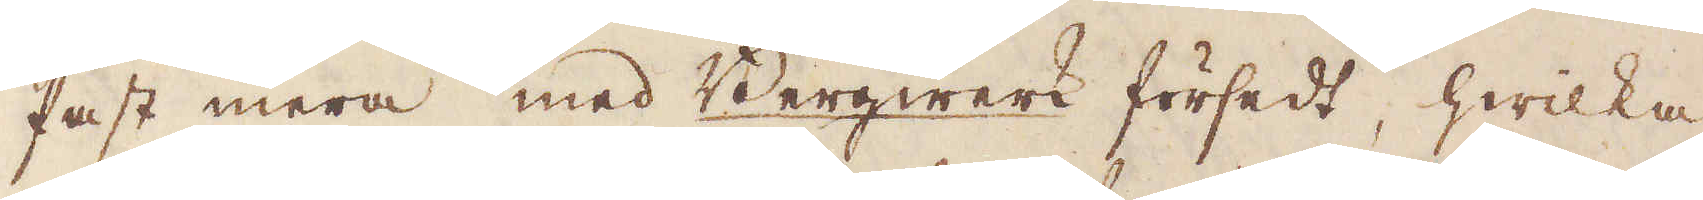fast mera med Bergwerk försedt, hwilka
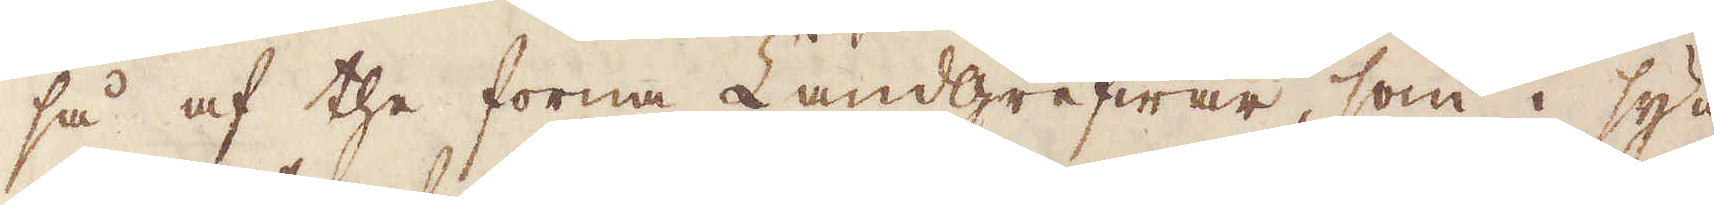så af the forna Landgrefwar, som i syn-
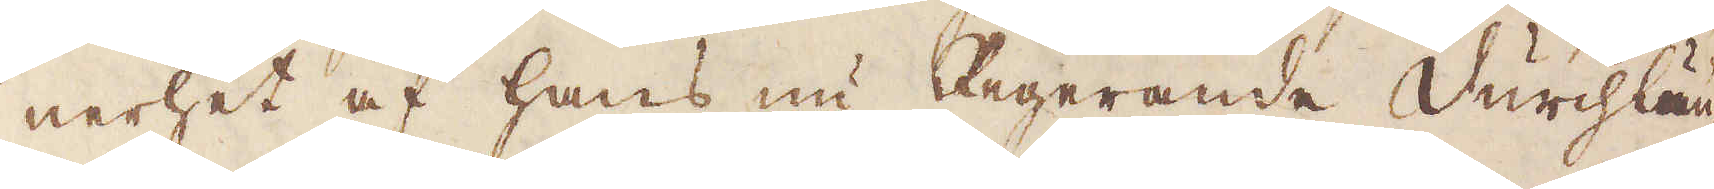nerhet af hans nu Regerande Durchlän-
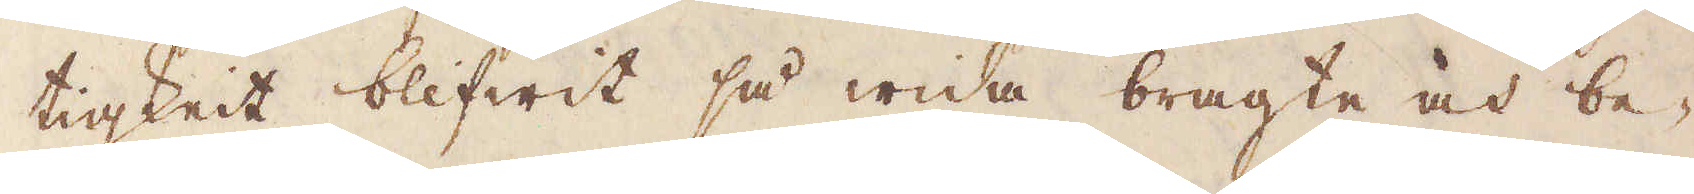tigkeit blifwit så wida bragte och be-
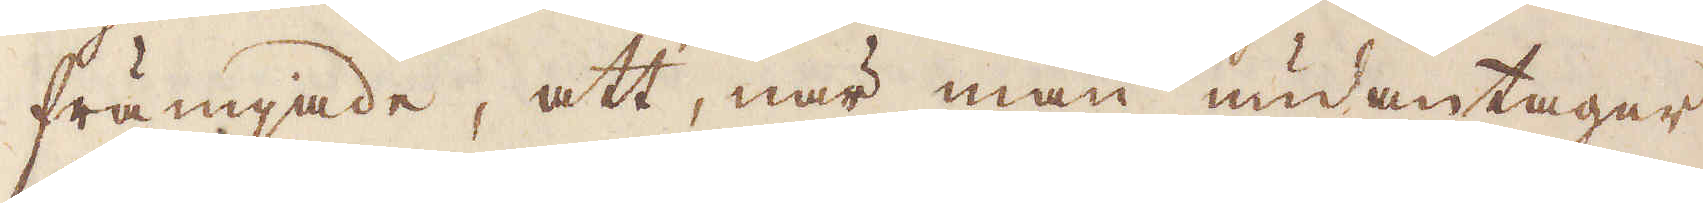främjade, att, när man undantager
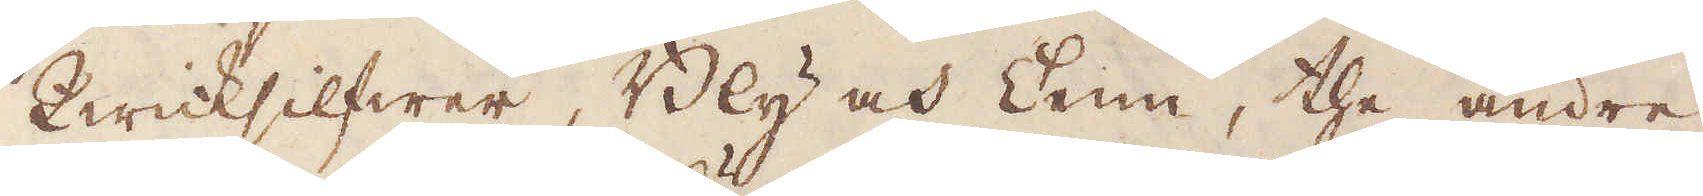Qwicksilfwer, Bly och Tenn, the andre
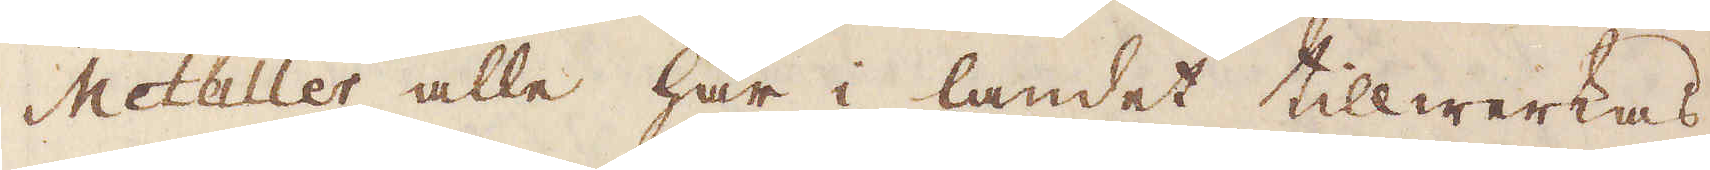Metaller alle här i landet tillwerkas;
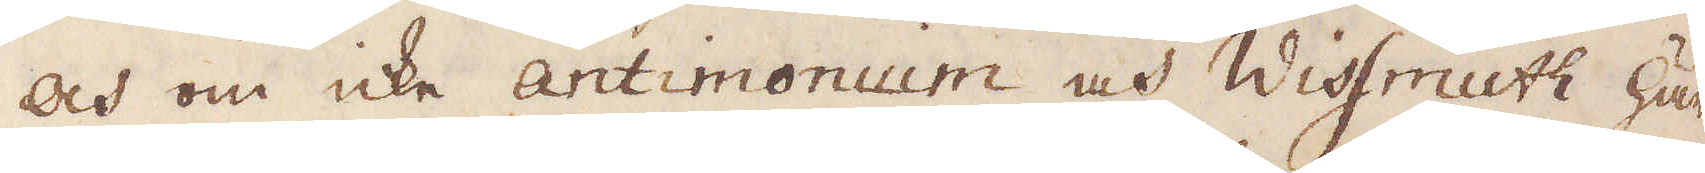och om icke antimonium och Wissmuth här
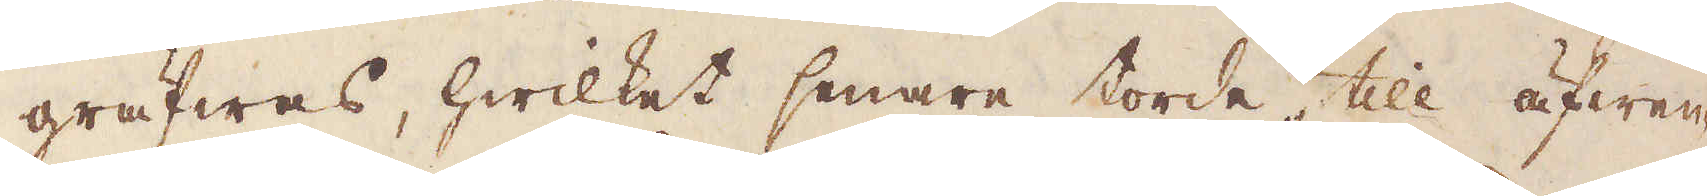gräfwas, hwilket senare torde till äfwen-
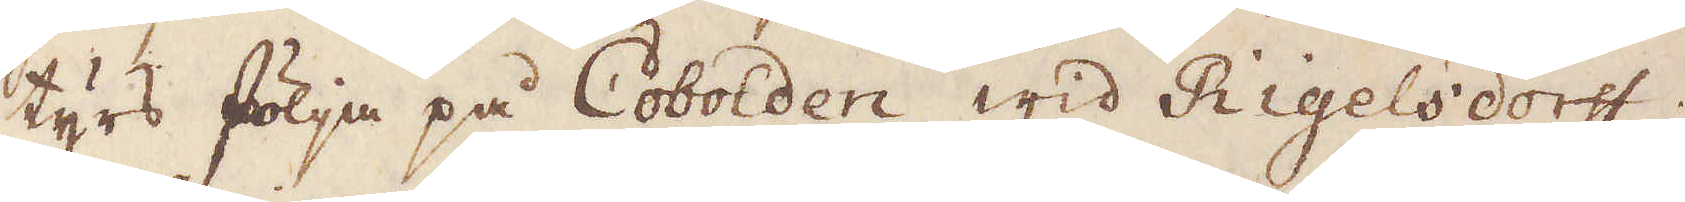tyrs följa på Cobolden wid Rigelsdorff,
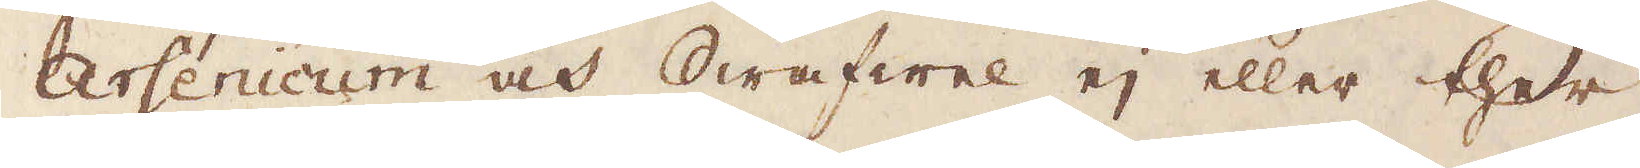Arsenicum och Swafwel ej eller ther
